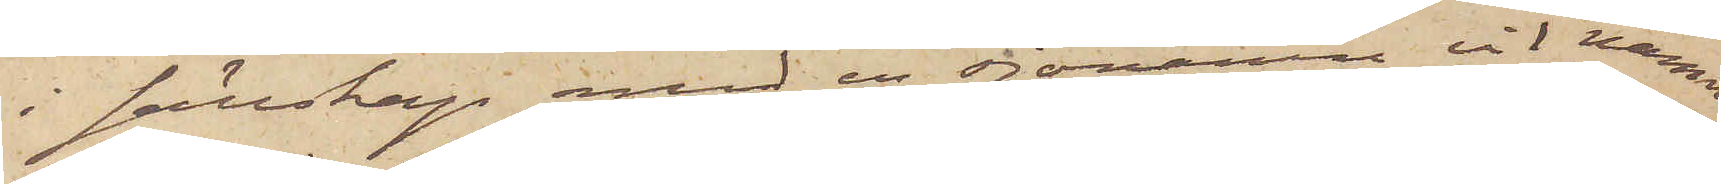i sällskap med en sjöman vid namn
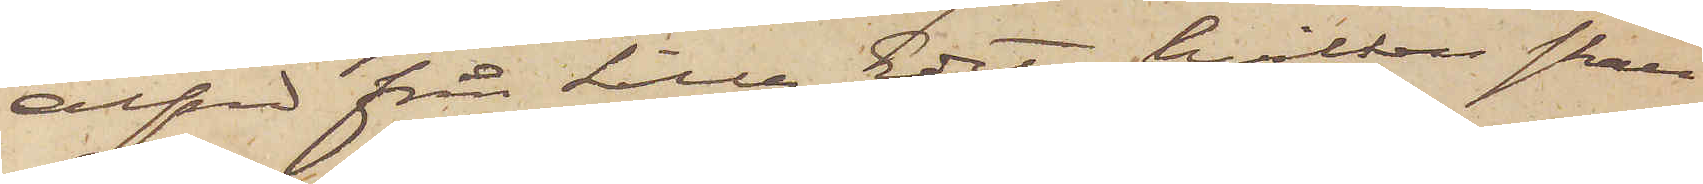Alfred från Lilla Edet, hvilken skall
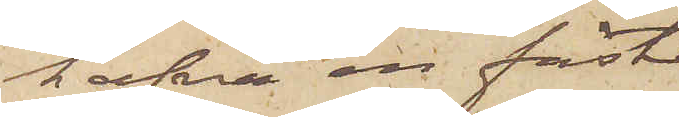hafva en fäst¬
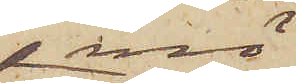mö
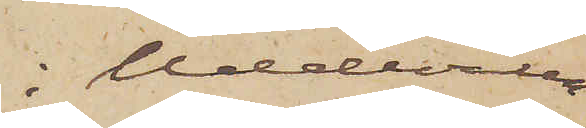i Uddevalla
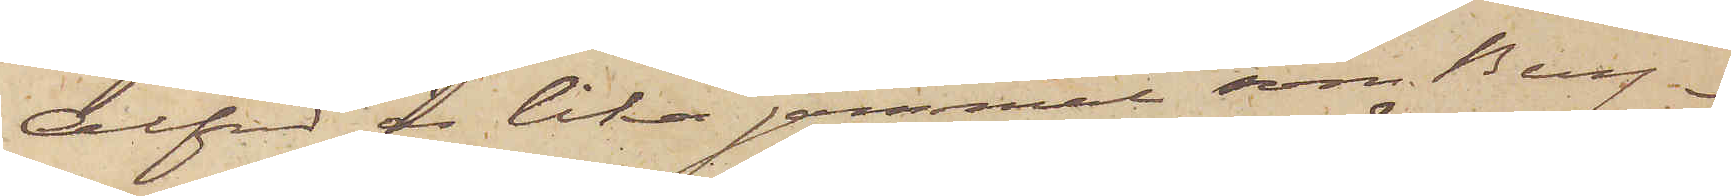Alfred är lika gammal som Berg¬
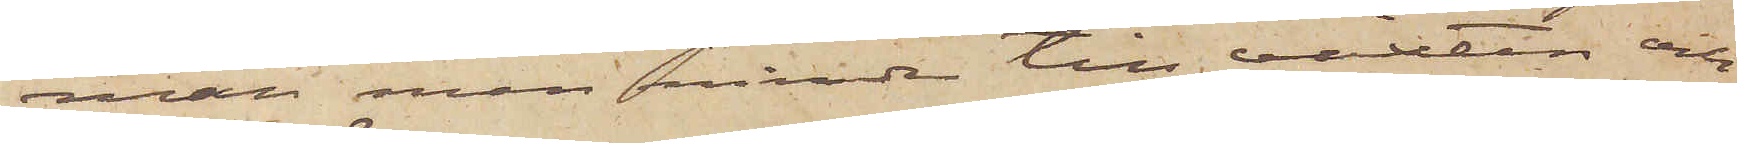man men mindre till växten och
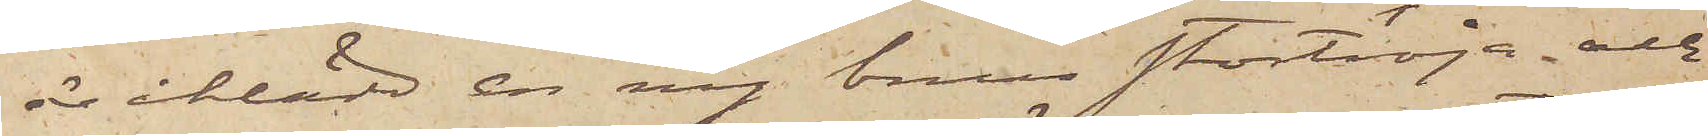är iklädd en ny brun stortröja och
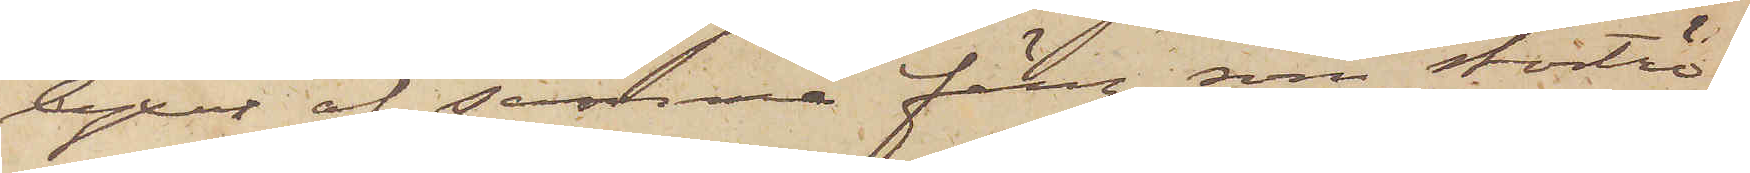byxor af samma färg som stortrö¬
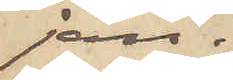jan.
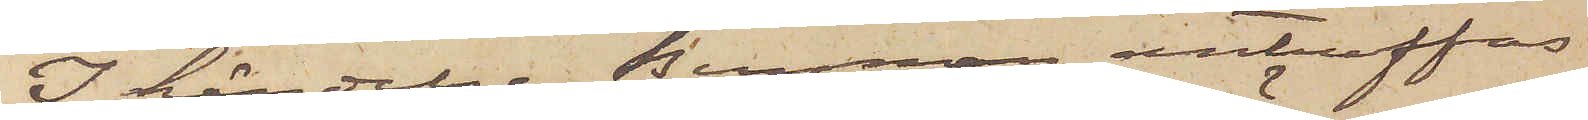I händelse Bergman anträffas
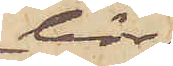bör
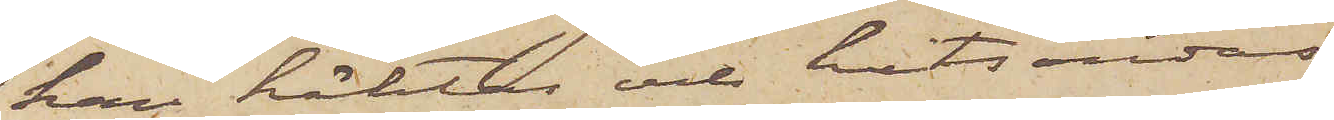han häktas och hitsändas,
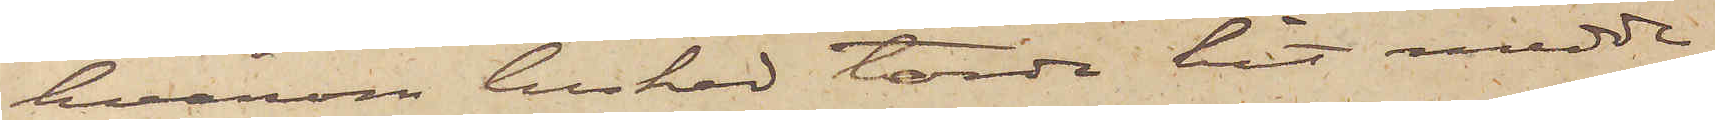hvarom besked torde hit medde¬
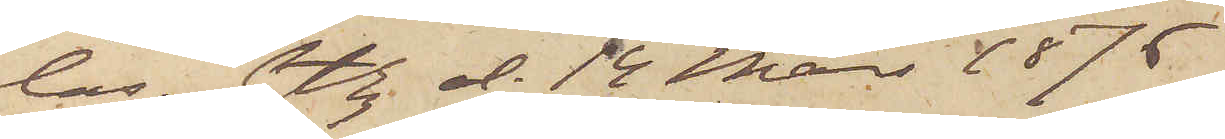las. Gtbg. d. 14 Mars 1876.
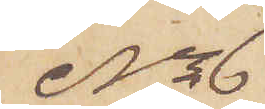No 6
